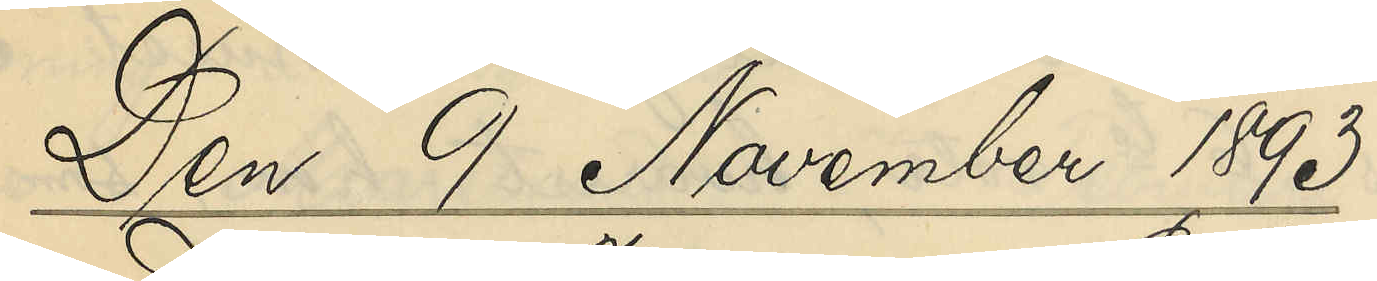Den 9 November 1893.
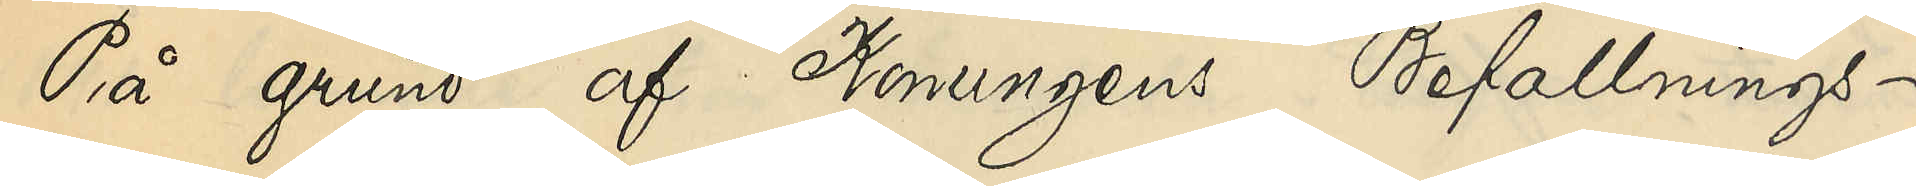På grund af Konungens Befallnings¬
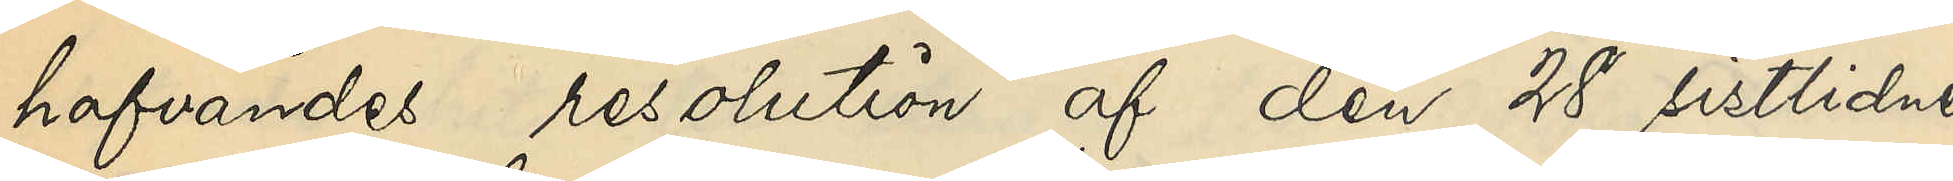hafvandes resolution af den 28 sistlidne
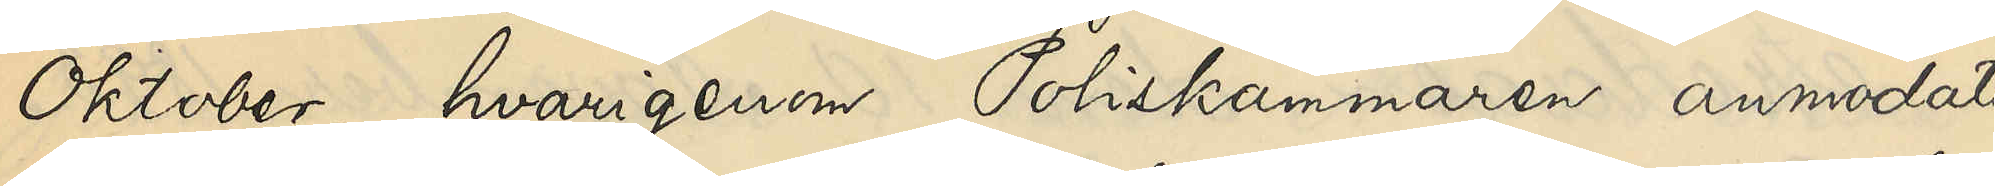Oktober, hvarigenom Poliskammaren anmodats
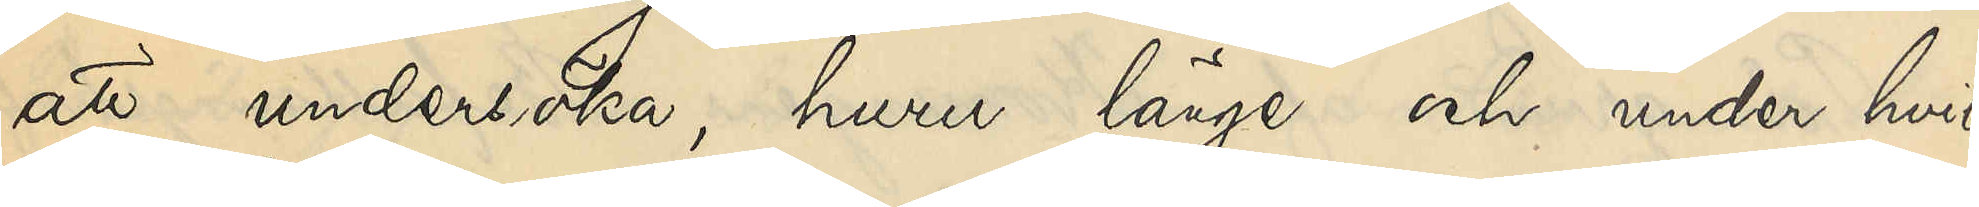att undersöka, huru länge och under hvil¬
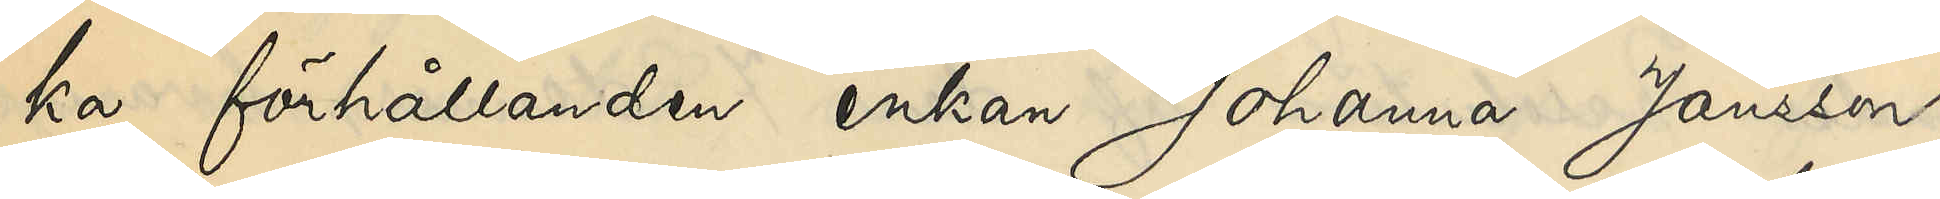ka förhållanden enkan Johanna Jansson,
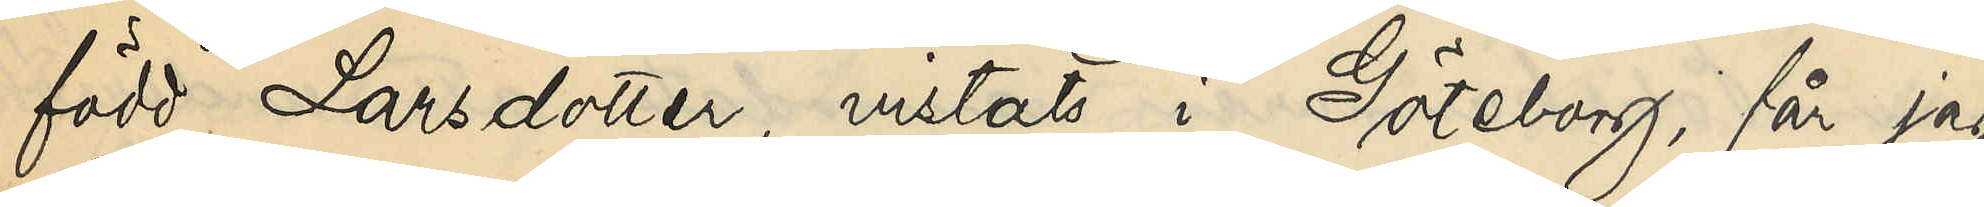född Larsdotter, vistats här i Göteborg, får jag
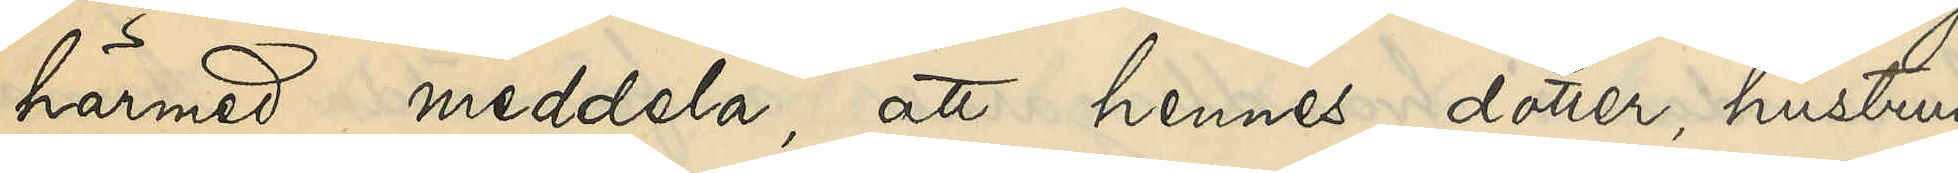härmed meddela, att hennes dotter, hustrun
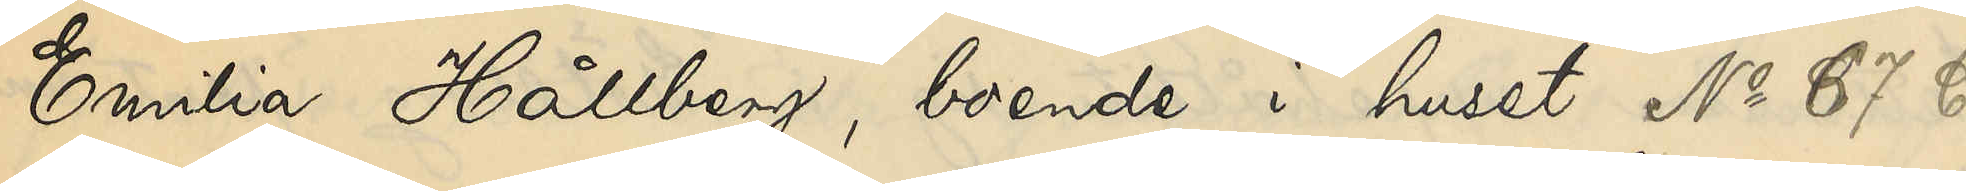Emilia Hållberg, boende i huset No 67 C
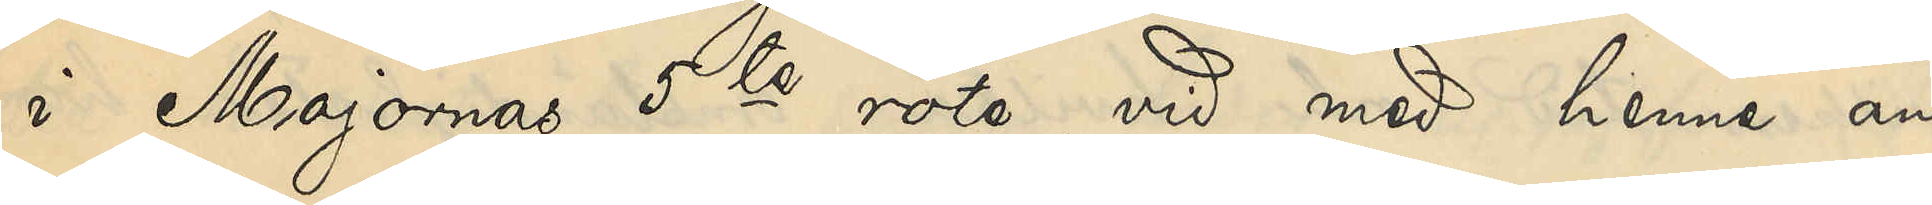I Majornas 5te rote, vid med henne an¬
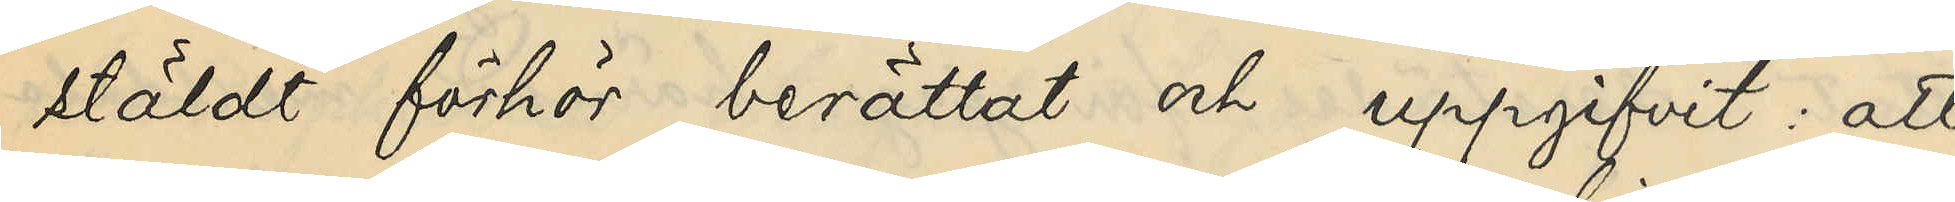stäldt förhör berättat och uppgifvit att
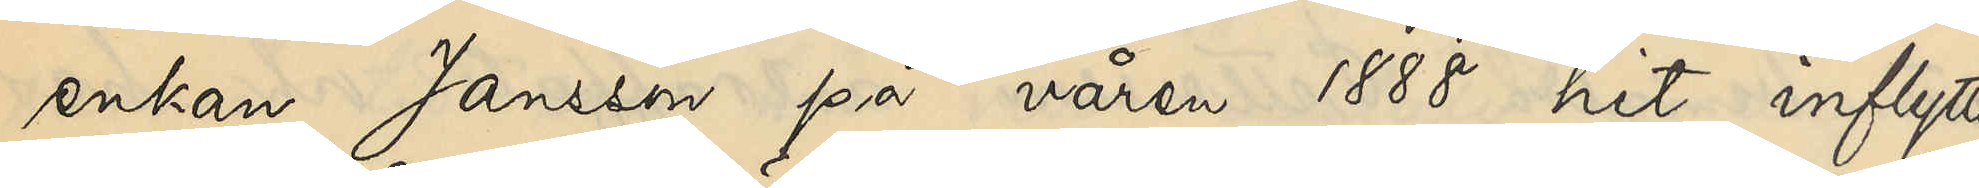enkan Jansson på våren 1888 hit inflytta¬
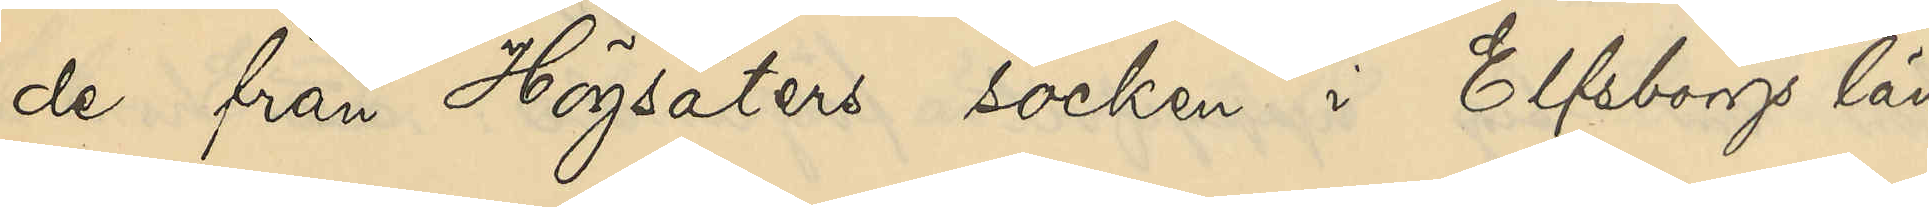de från Högsäters socken i Elfsborgs län
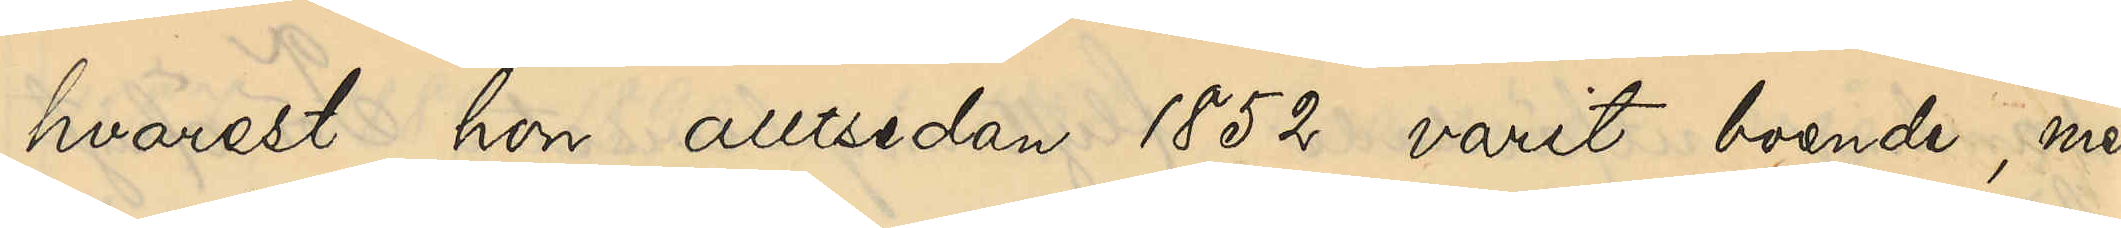hvarest hon alltsedan 1852 varit boende, men
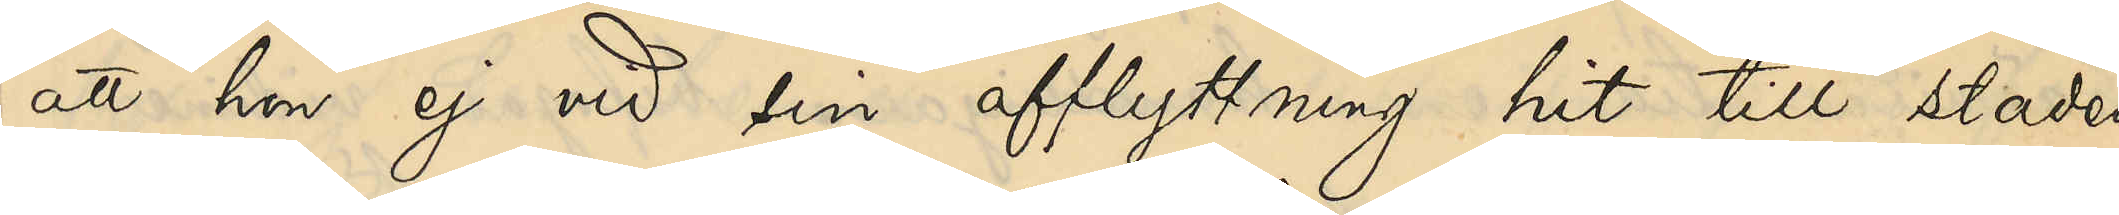att hon ej vid sin afflyttning hit till staden
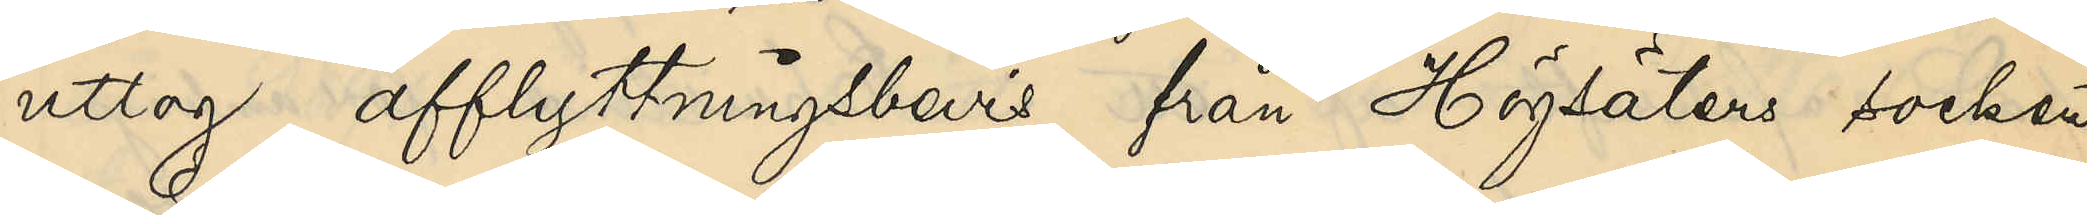uttog afflyttningsbevis från Högsäters socken,
